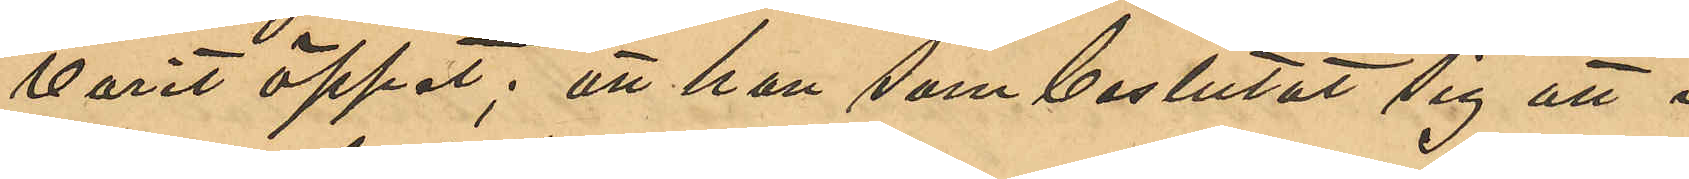varit öppet; att han som beslutat sig att i
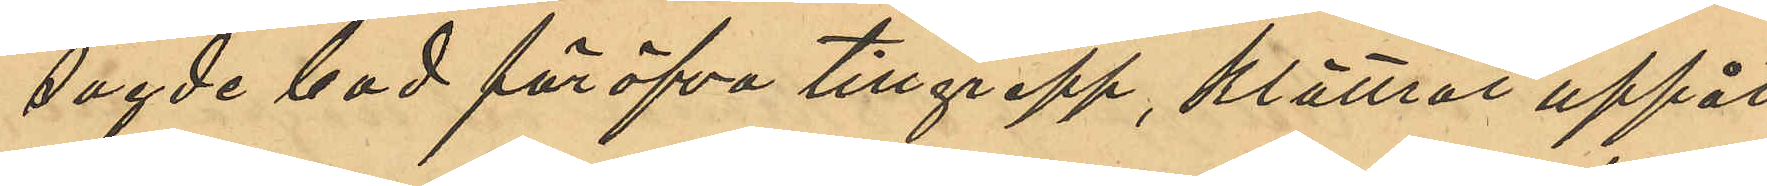sagde bod föröfva tillgrepp, klättrat uppåt
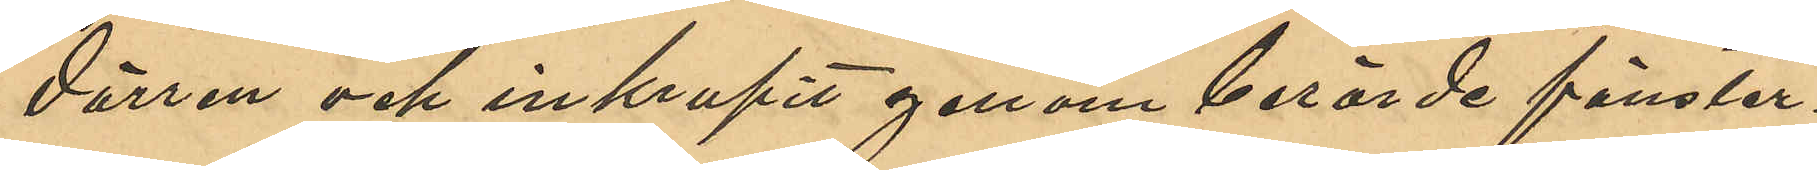dörren och inkrupit genom berörde fönster¬
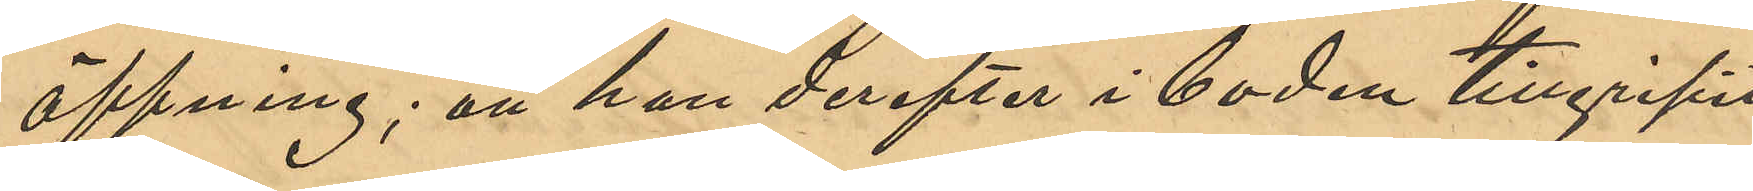öppning; att han derefter i boden tillgripit,
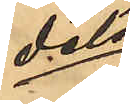dels
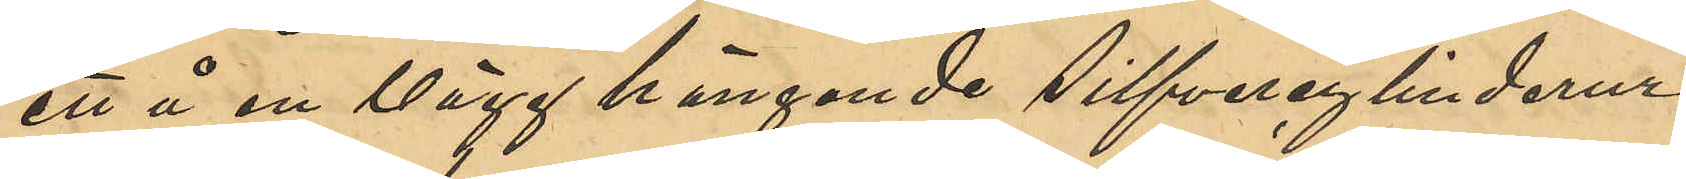ett å en vägg hängande silfvercylinderur,
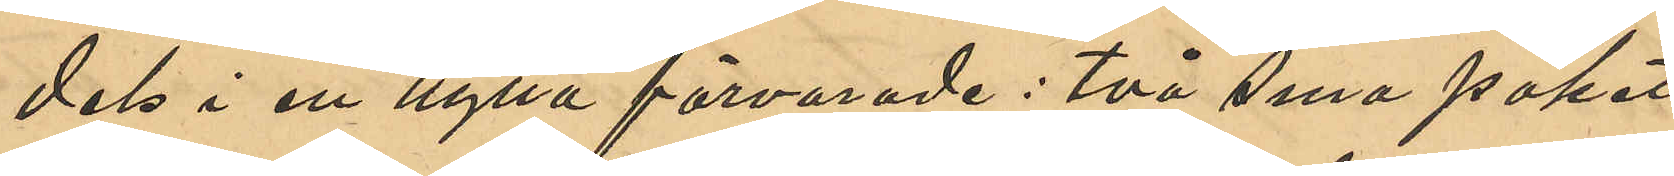dels i en hylla förvarade: två sma paket
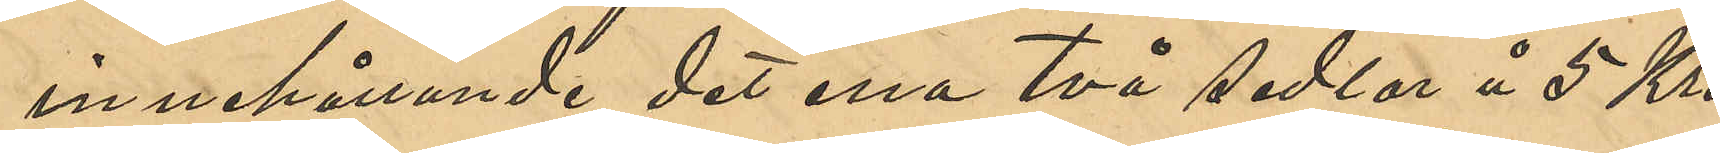innehållande det ena två sedlar å 5 Kro¬
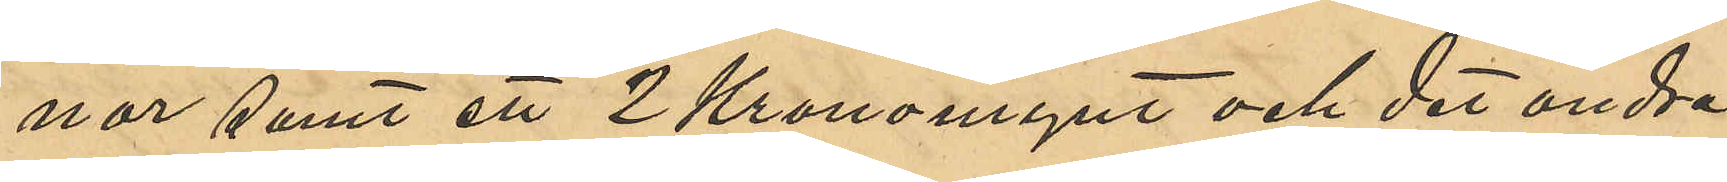nor samt ett 2 Kronomynt och det andra
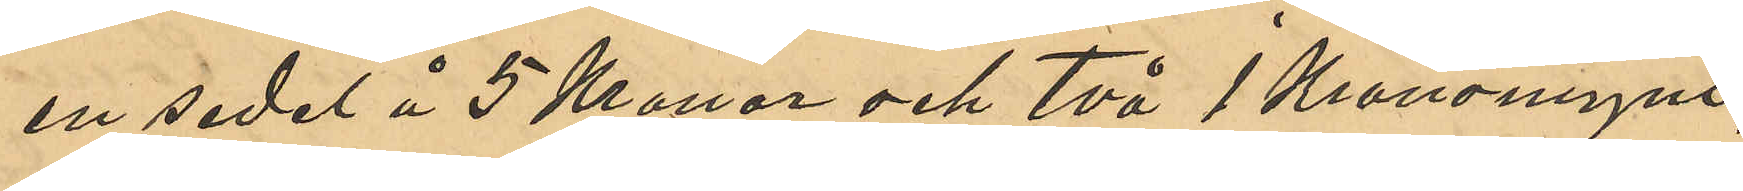en sedel å 5 Kronor och två 1 Kronomynt,
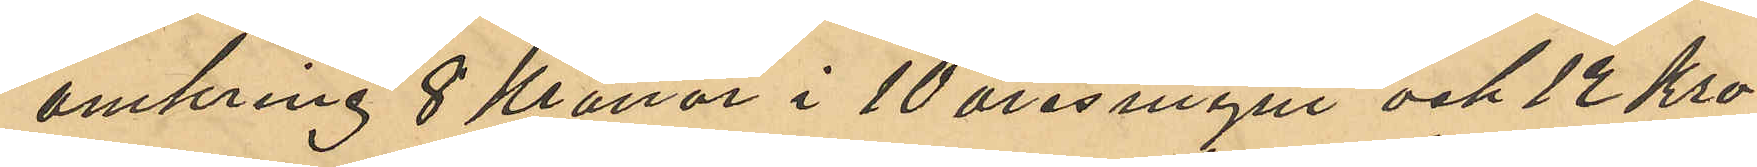omkring 8 Kronor i 10 öresmynt och 12 Kro¬
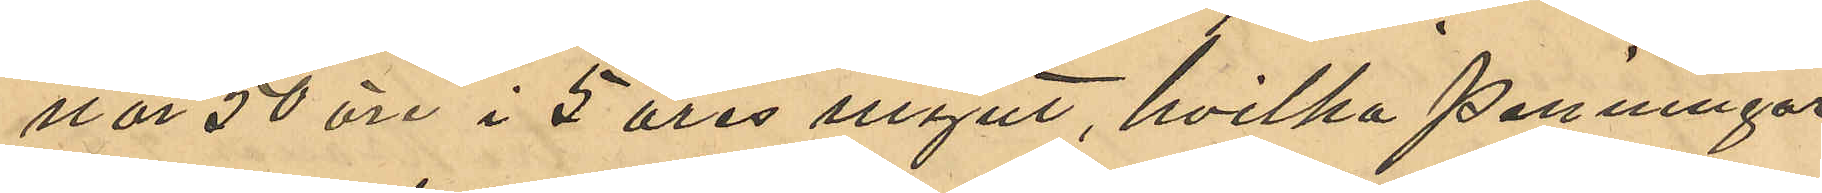nor 50 öre i 5 öresmynt, hvilka penningar
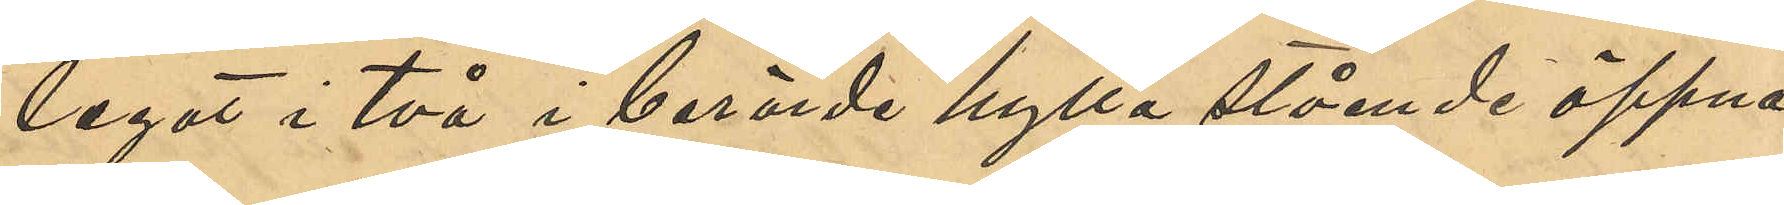legat i två i berörde hylla stående öppna
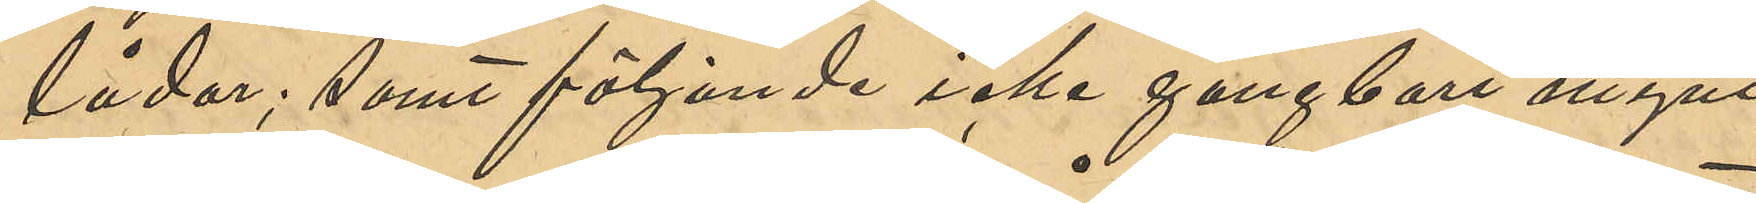lådor; samt följande icke gångbart mynt,
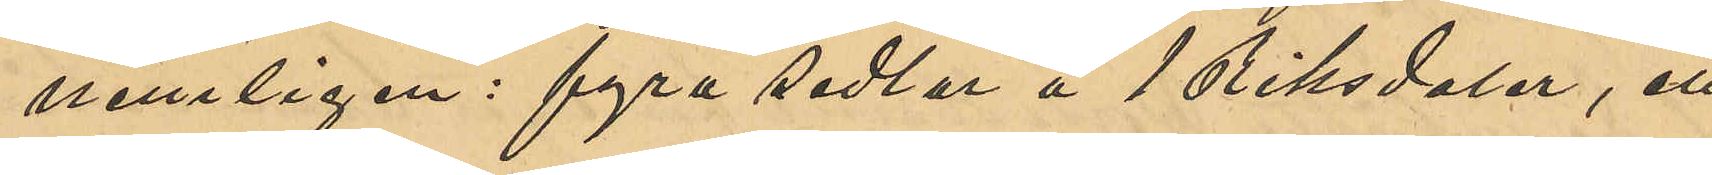nemligen: fyra sedlar å 1 Riksdaler, ett
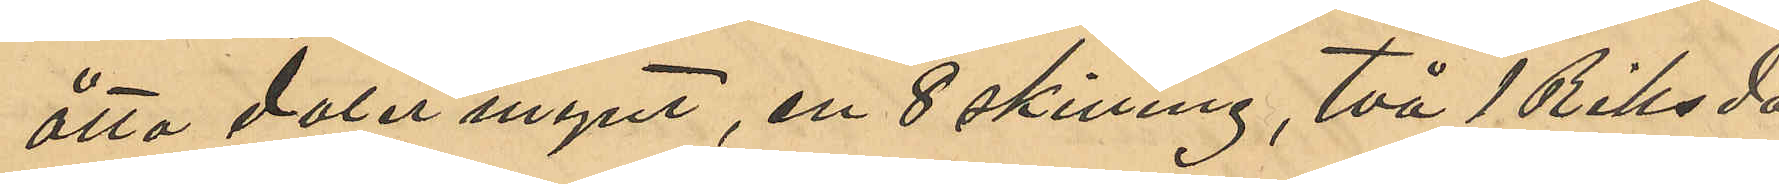åtta daler mynt, en 8 skilling, två 1 Riksda¬
